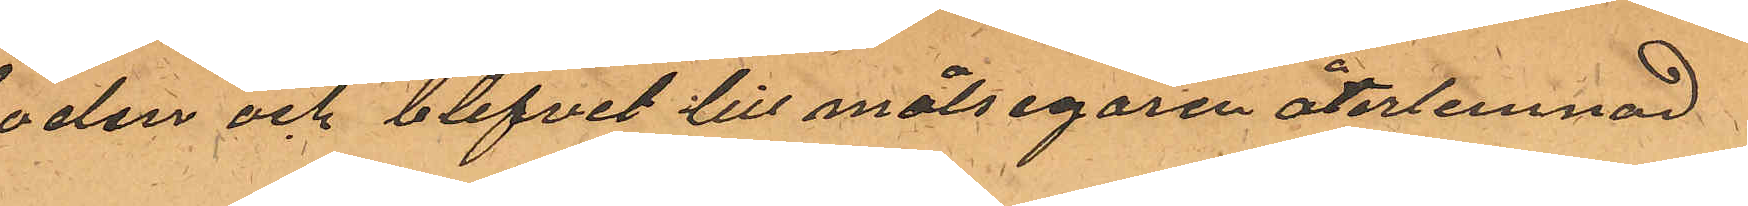boden och blifvit till målsegaren återlemnad.
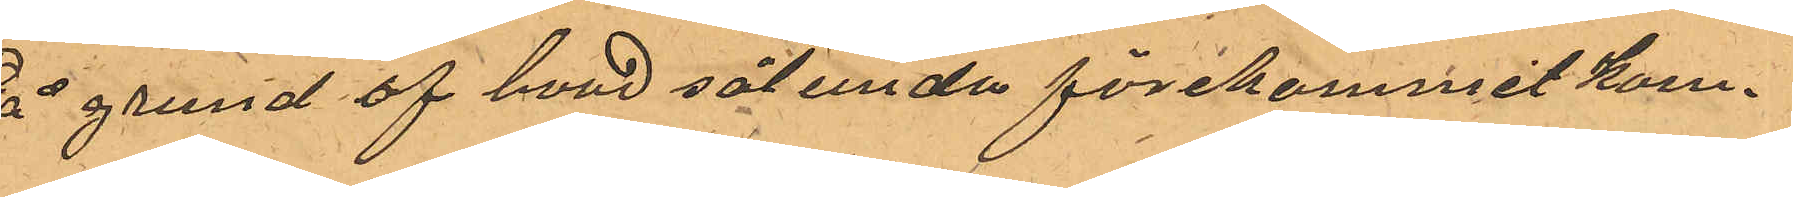På grund af hvad sålunda förekommit kom¬
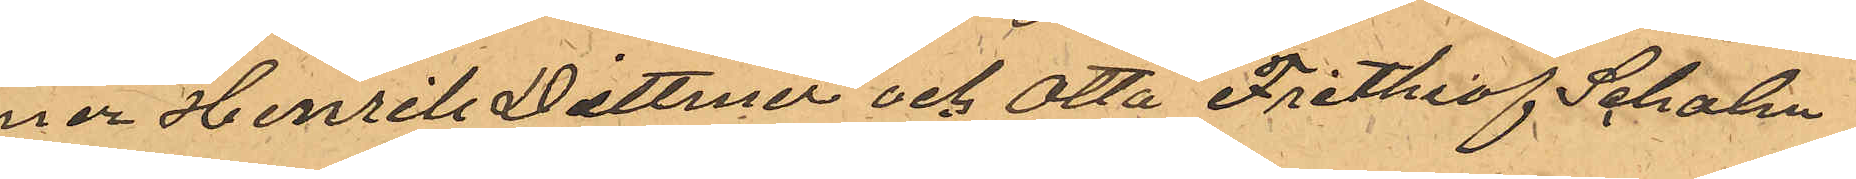mer Henrik Dittmer och Otto Frithiof Seholm
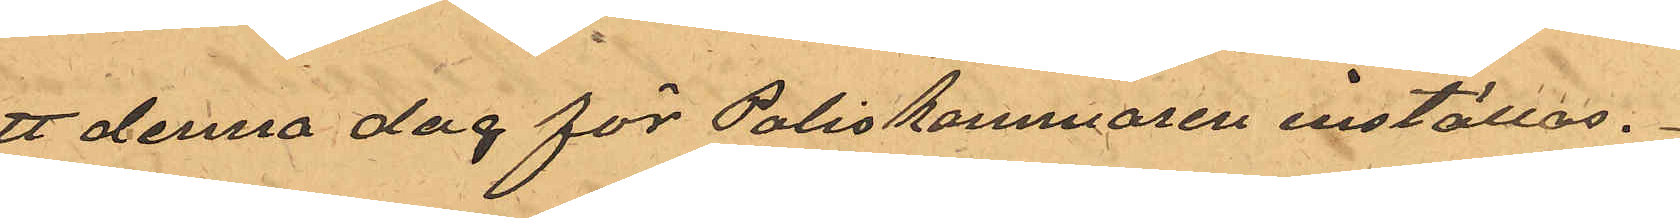att denna dag för Poliskammaren inställas.
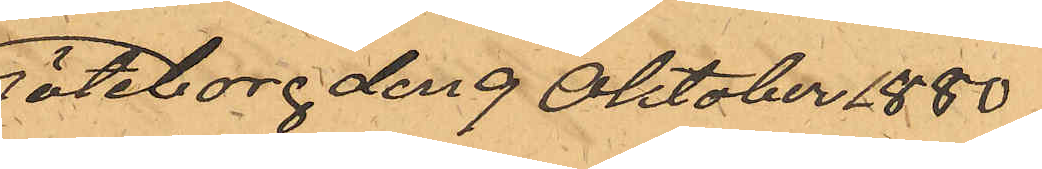Göteborg den 9 Oktober 1880.
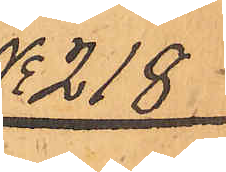No 218
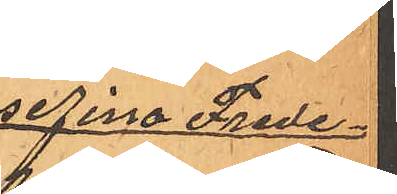Josefina Frede¬
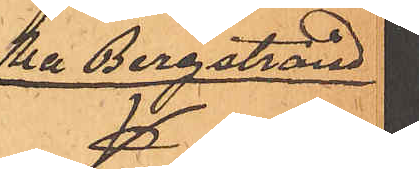rika Bergstrand
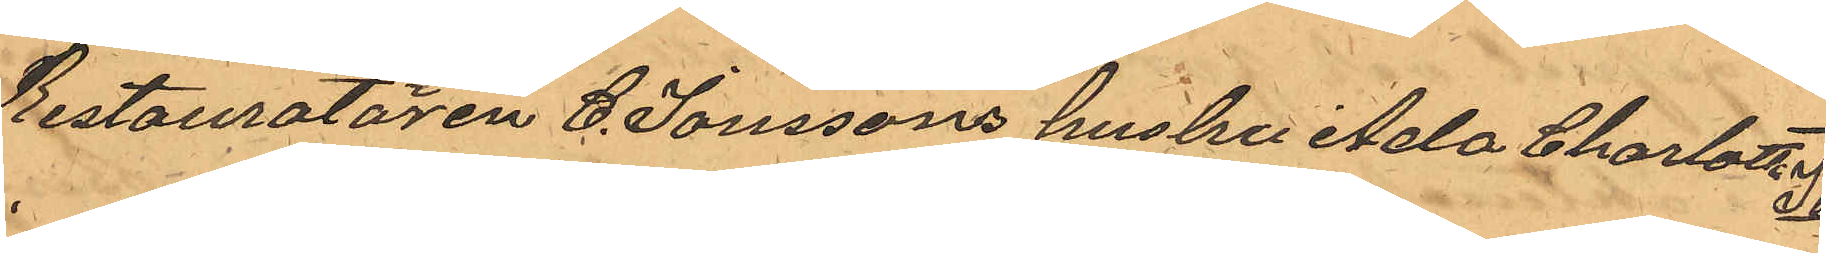Restauratören C. Jonssons hustru Ada Charlotta
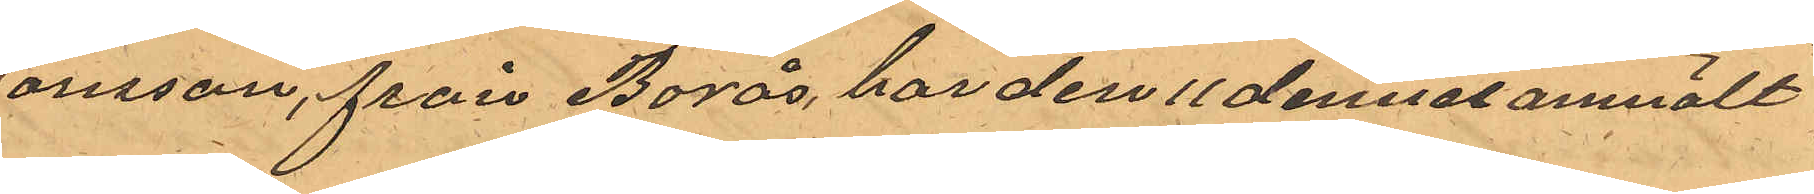Jonsson, från Borås, har den 11 dennes anmält
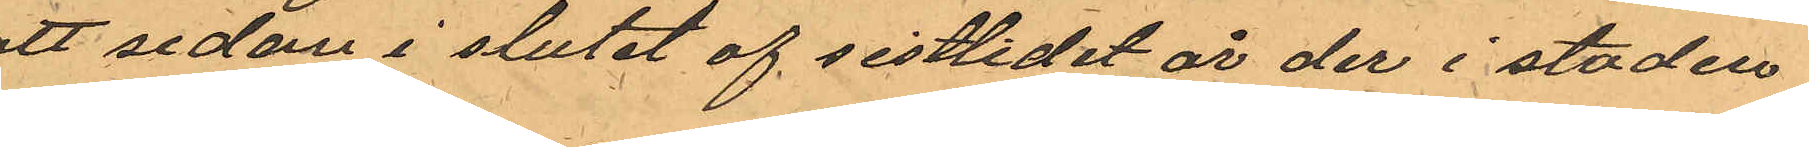att sedan i slutet af sistlidet år der i staden
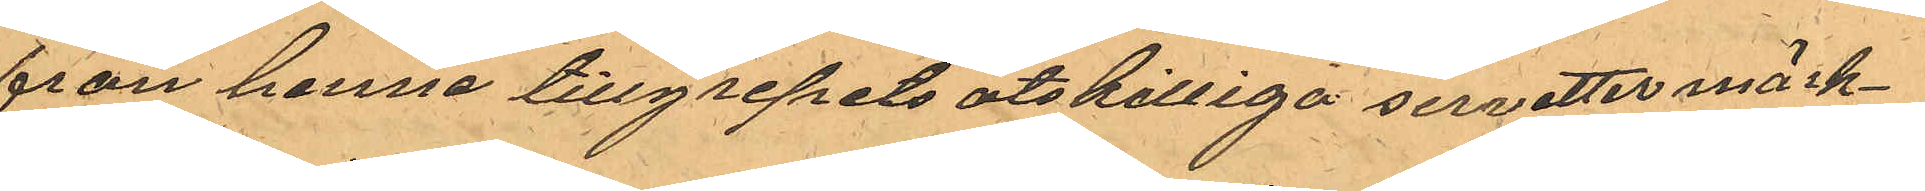från henne tillgripits åtskilliga servetter märk¬
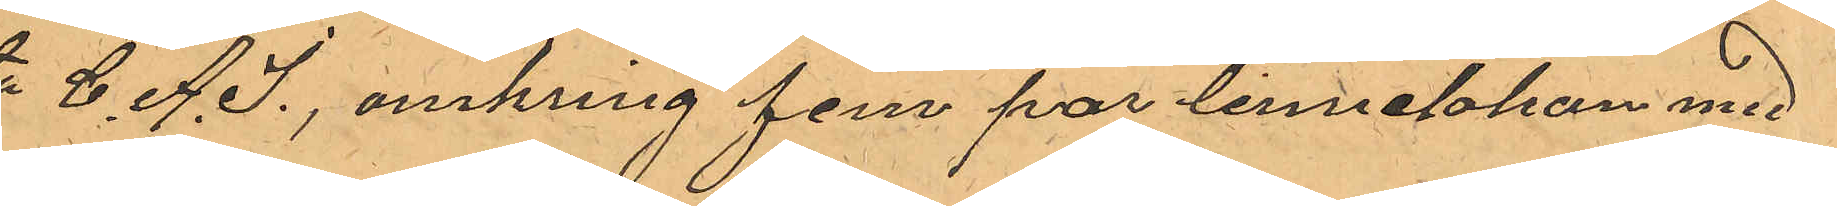ta C. A. J., omkring fem par linnelakan med
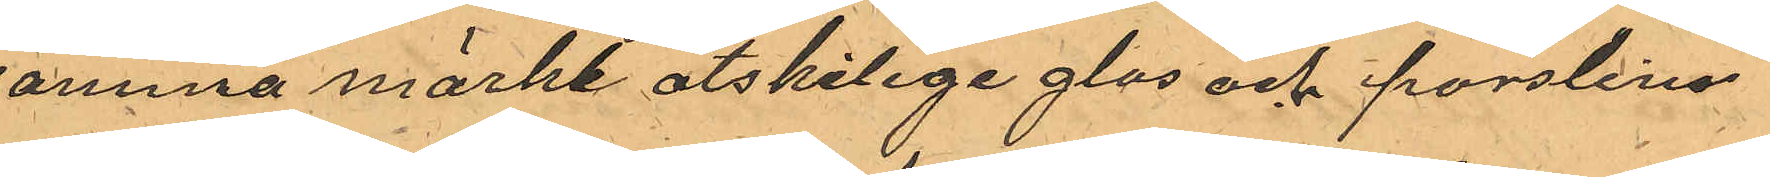samma märke atskilige glas och porslins¬
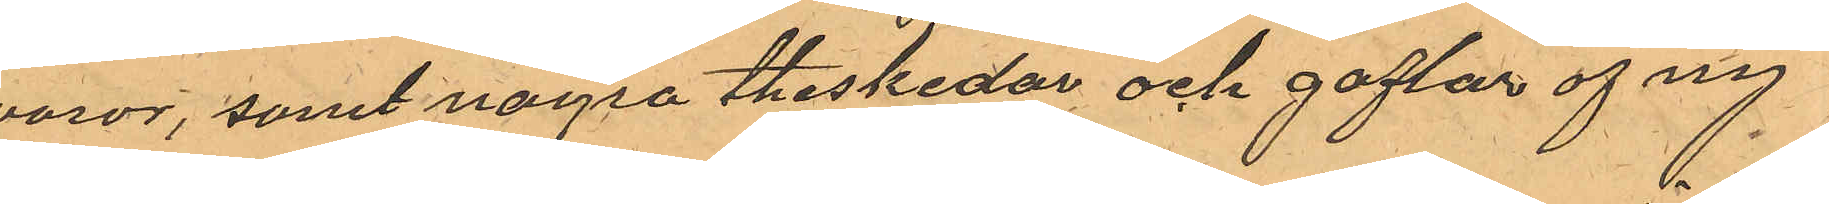varor, samt några theskedar och gaflar af ny¬
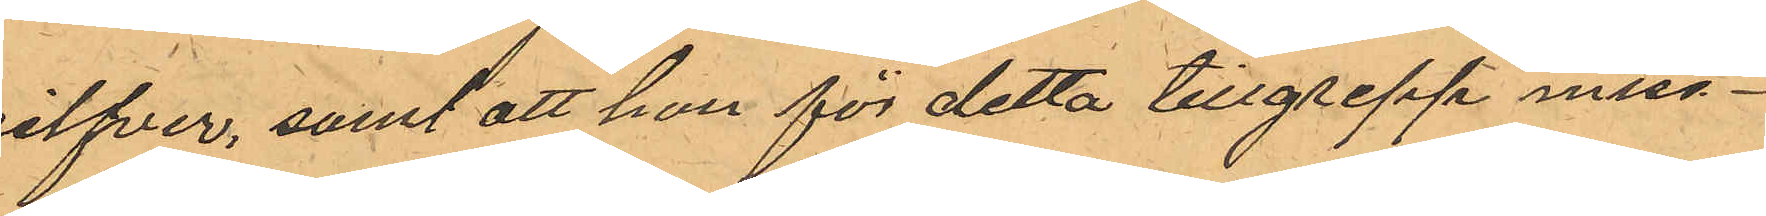silfver, samt att hon för detta tillgrepp miss¬
